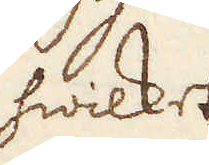hwilket
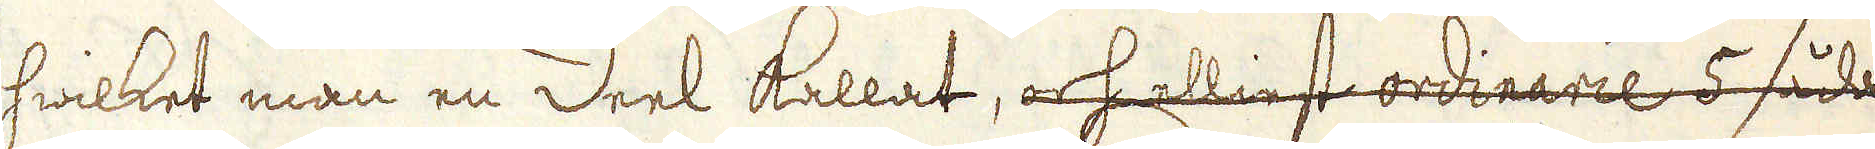hwilket man en Deel kallat, och elliest ordinarie 5 såda-
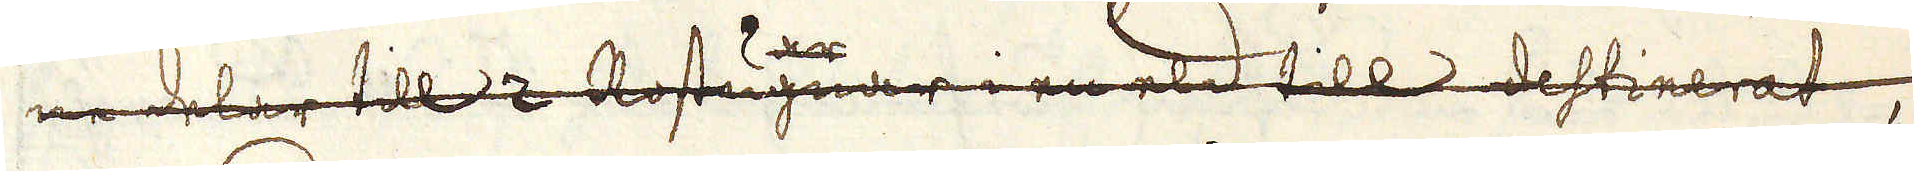 ne delar till 2 Rostugnar i en eld till destinerat,
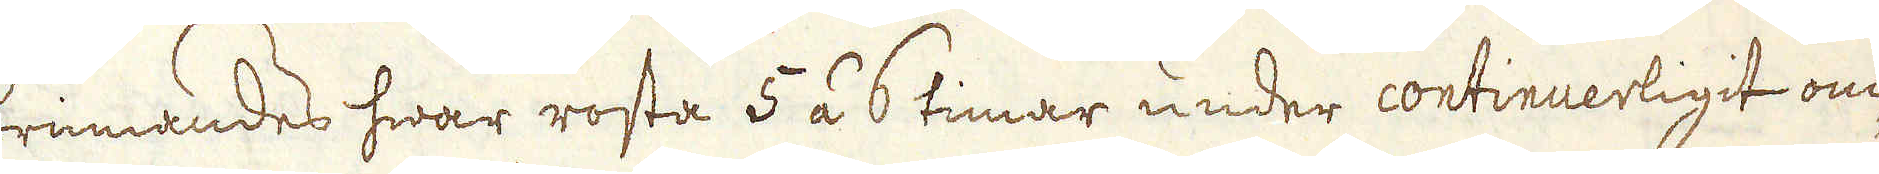brinnandes hwar rosta 5 á 6 timar under continuerligit om-
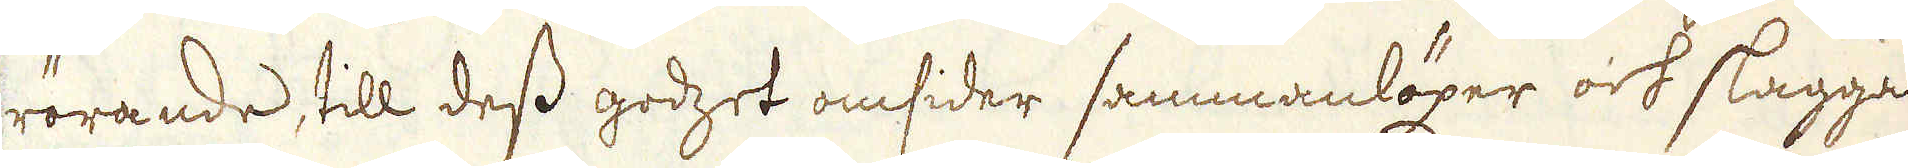rörande, till dess godzet omsider sammanlöper och slaggar
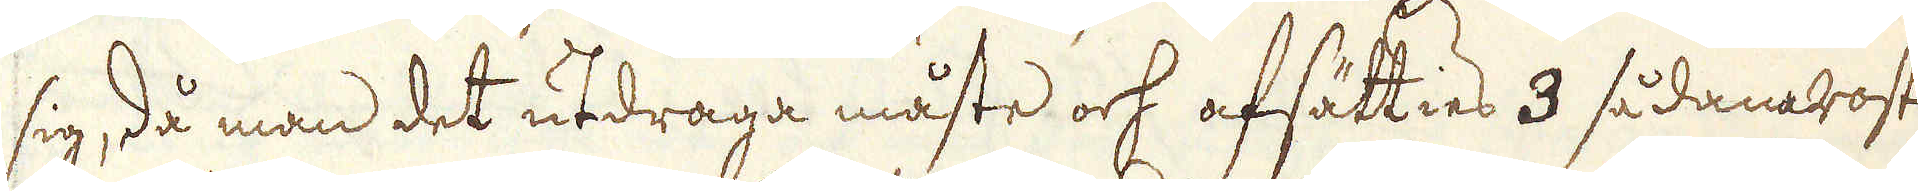sig, då man det utdraga måste och afsätties 3 sådana rostar
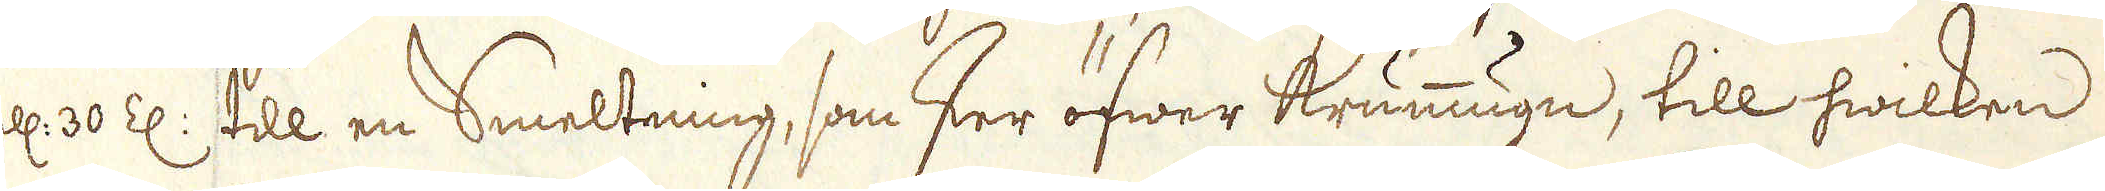ell: 30 Z: till en Smeltning, som sker öfwer krummugn, till hwilken
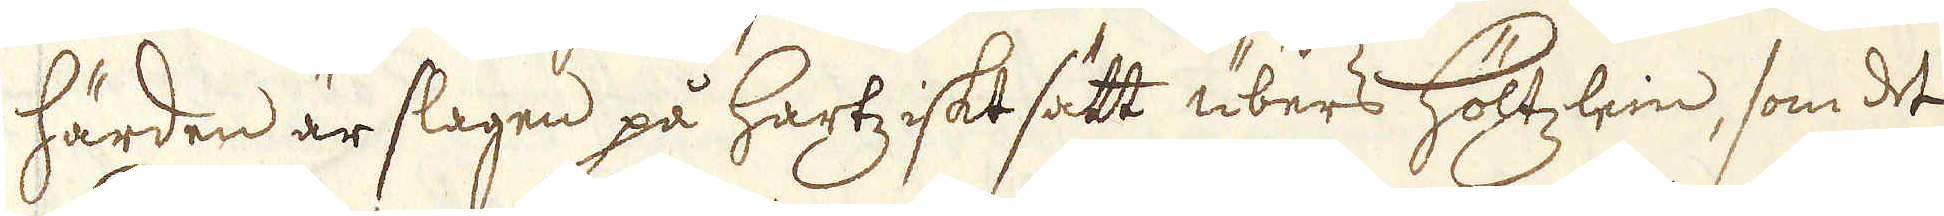härden är slagen på hartziskt sätt übers Höltzlein, som det
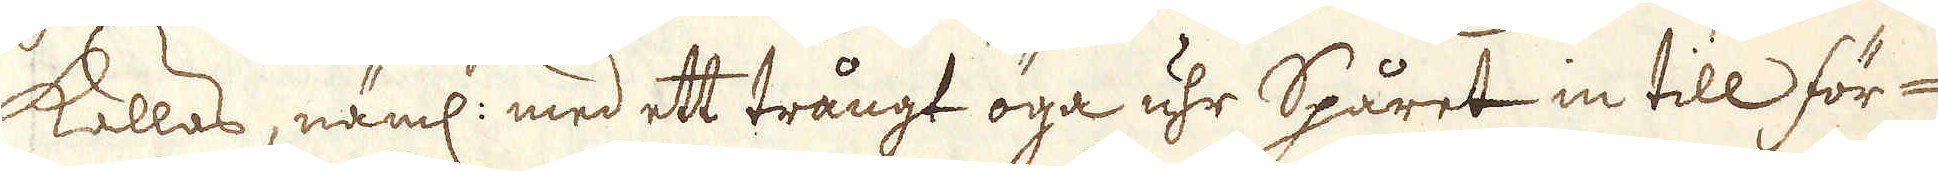kallas, näml: med ett trångt öga uhr Spåret in till för-
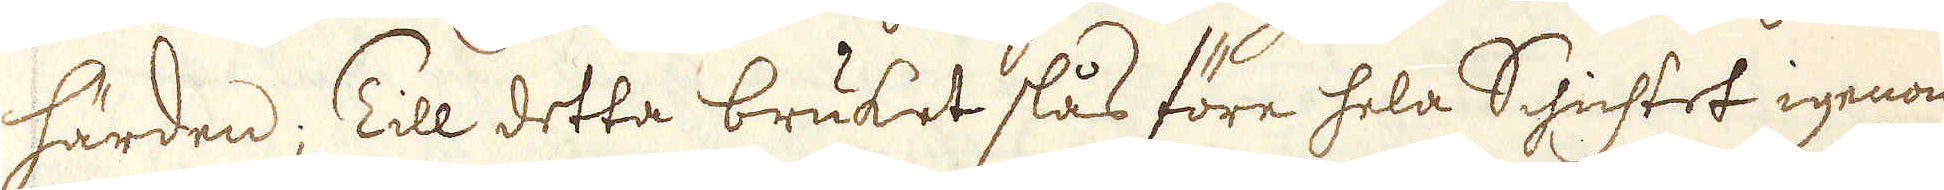härden; Till detta bruket slås före hela Schichtet igenom
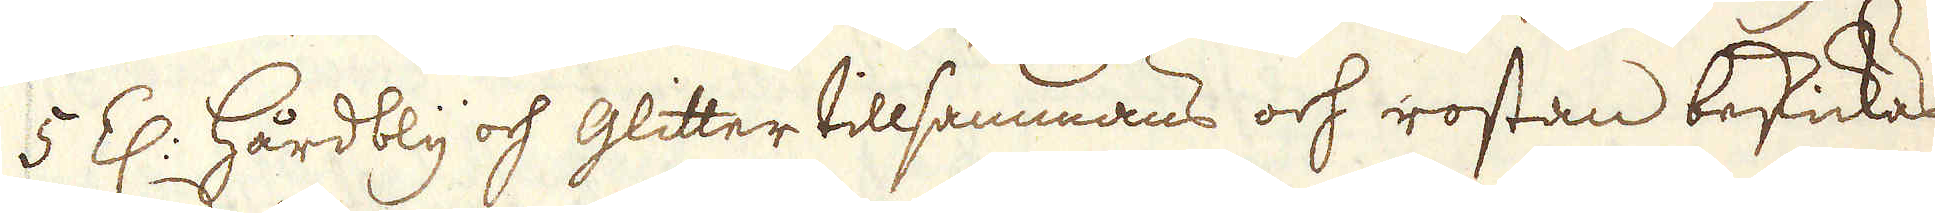5 Z: Hårdbly och Glitter tillsammans och rostan beskickas
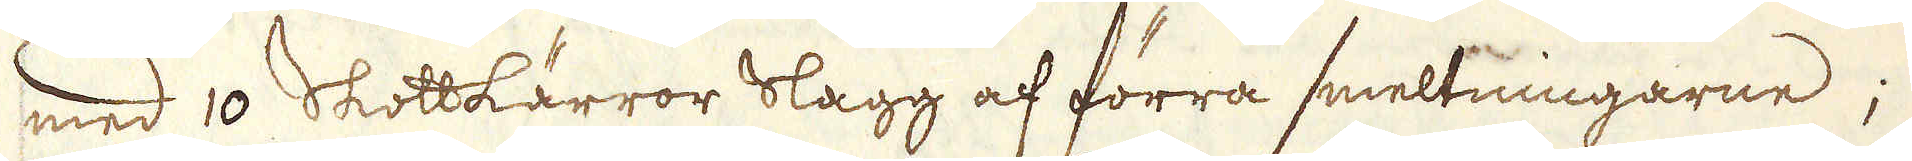med 10 Skottkärror slagg af förra smeltningarne;
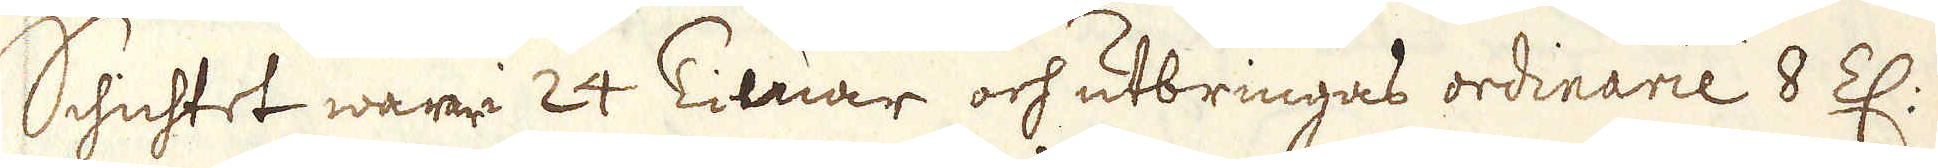Schichtet wara i 24 Timar och utbringas ordinarie 8 Z:
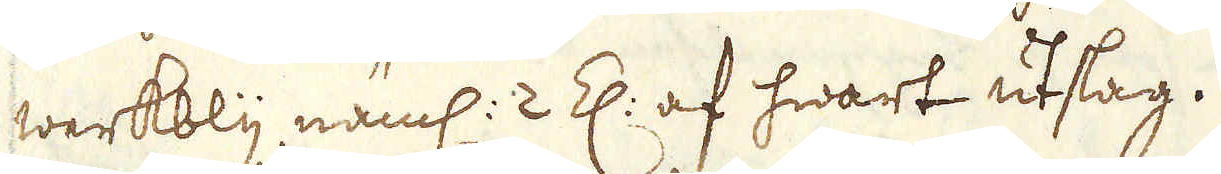werkbly näml: 2 Z: af hwart utslag.
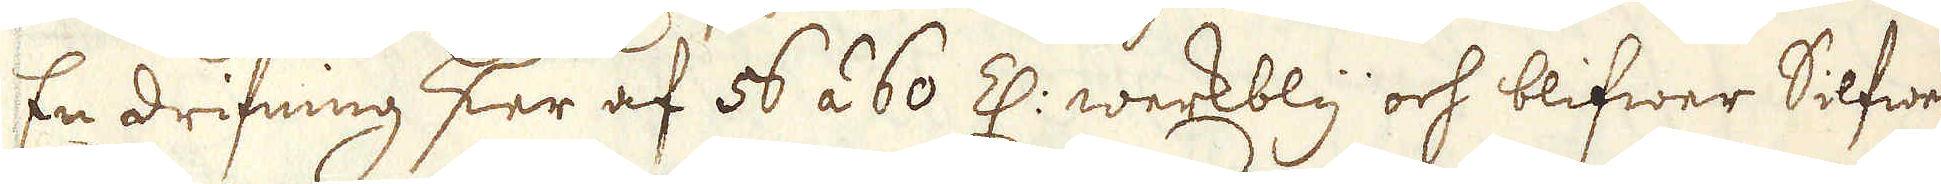En drifning sker af 56 à 60 Z: werkbly och blifwer Silfwer-
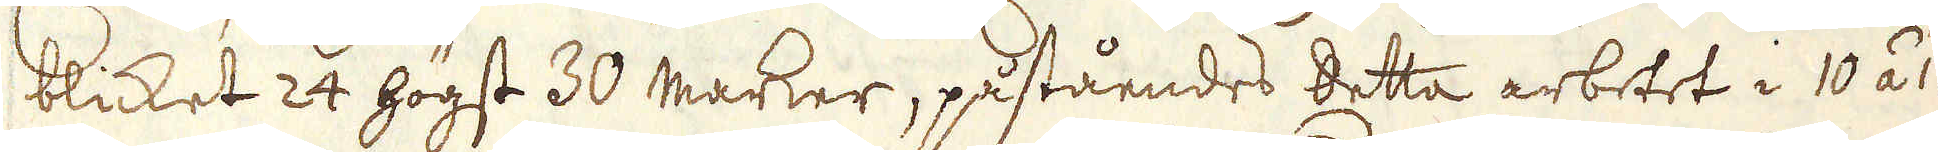blicket 24 högst 30 marker, påståendes detta arbetet i 10 á 12
